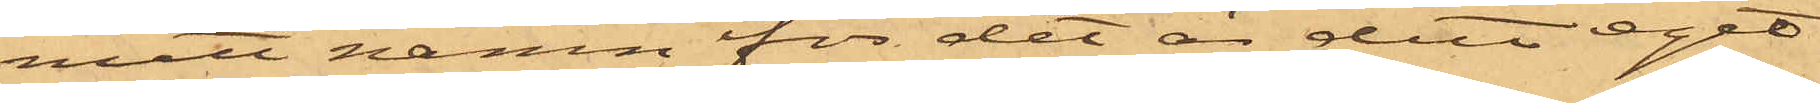mitt namn för det är ditt eget
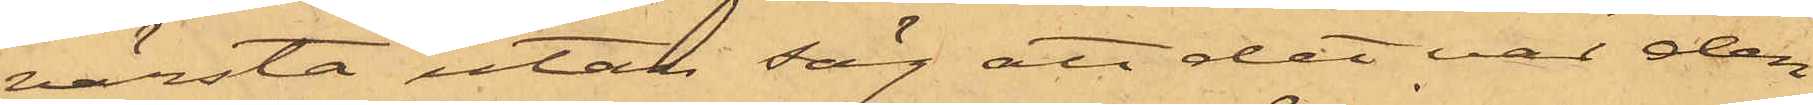värsta utan säg att det var den
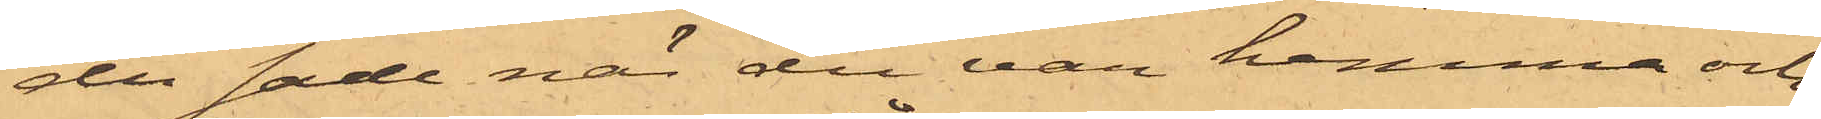du sade när du var hemma och
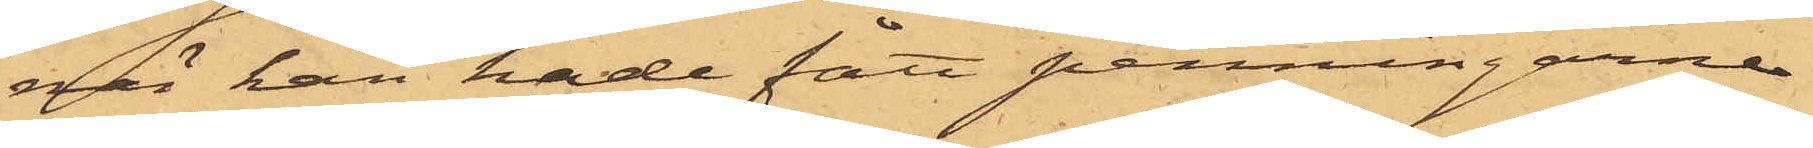när han hade fått penningarne
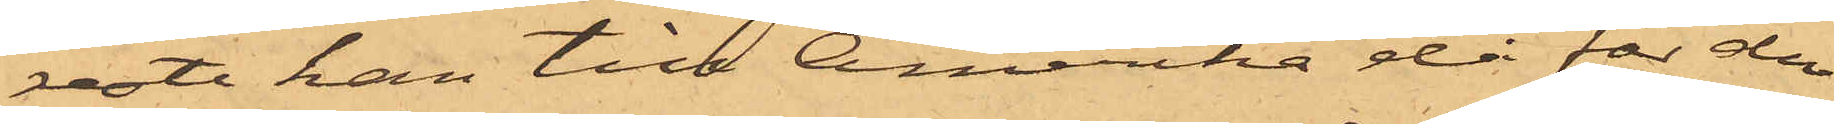reste han till Amerika då får du
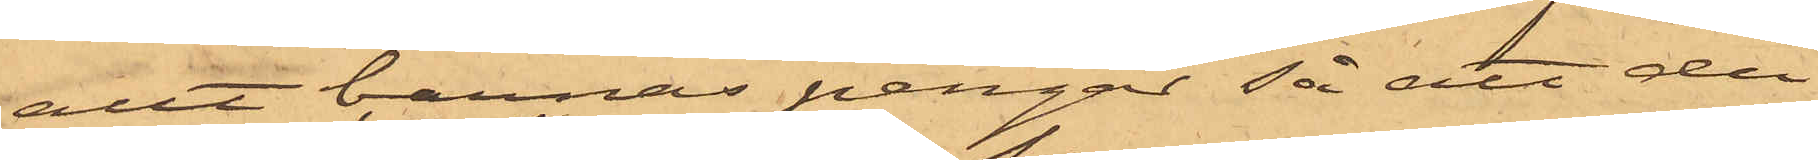allt barnas pengar så att du
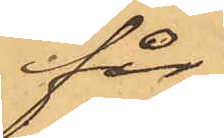får
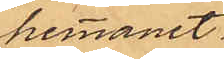hemmanet
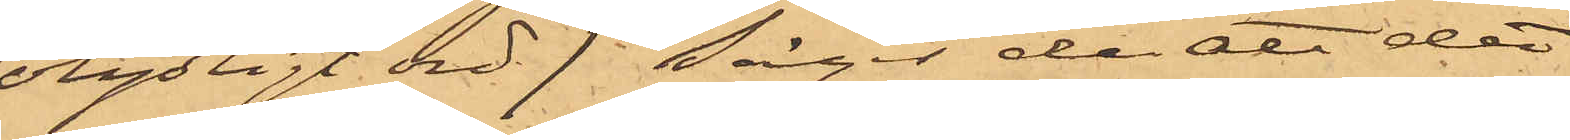/otydligt ord/ Säger du att det
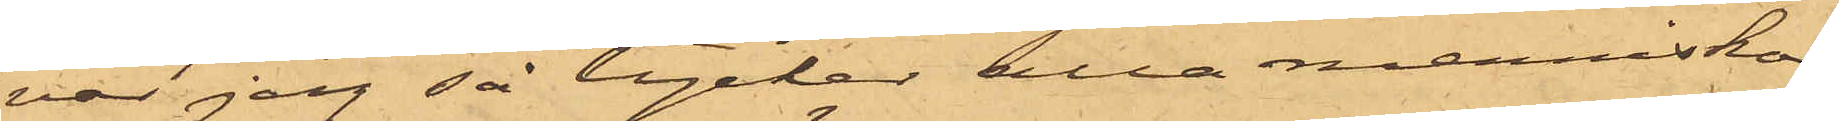var jag så tycker alla menniskor
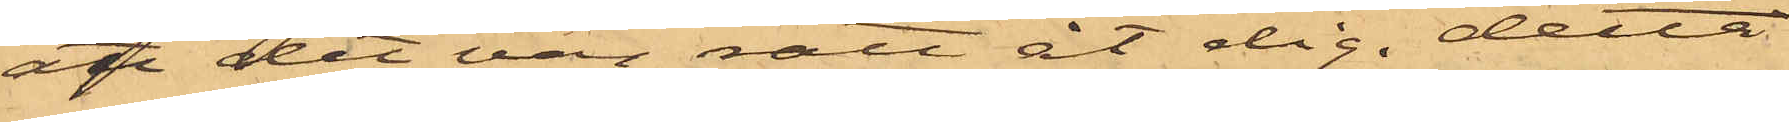att det var rätt åt dig. detta
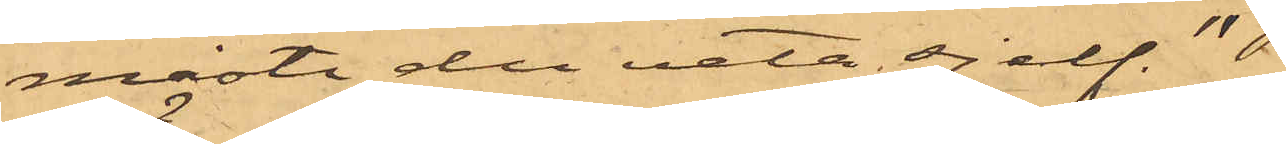måste du veta sjelf "
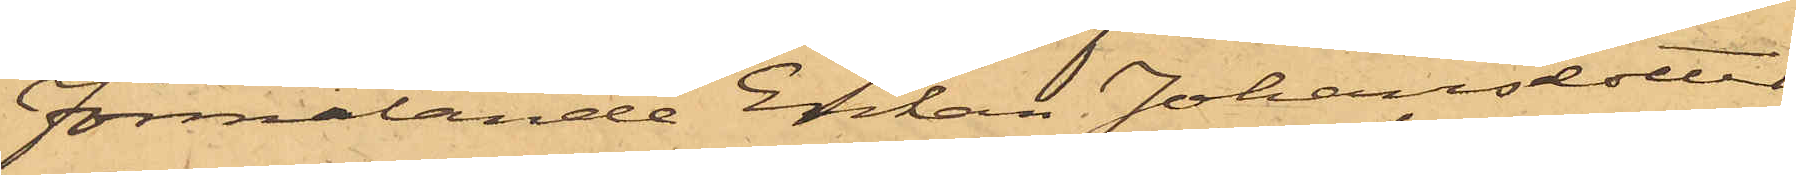Förmälande Enkan Johansdotter
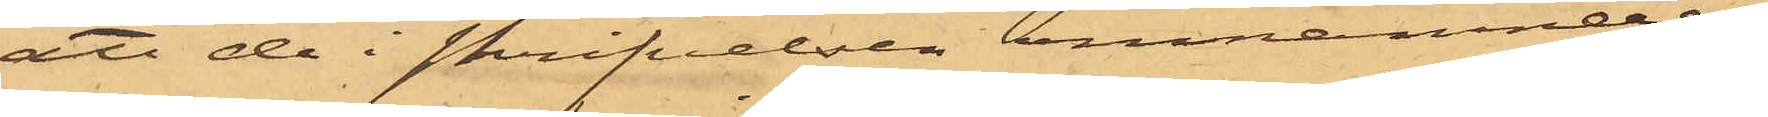att de i skrifvelsen omnämnde
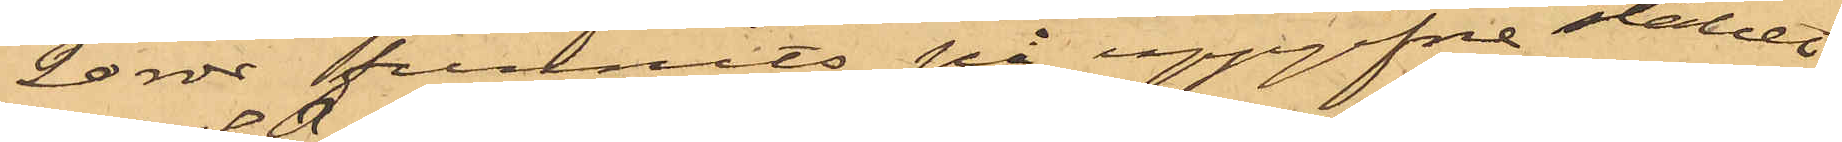20 rdr funnits på uppgifna stället.
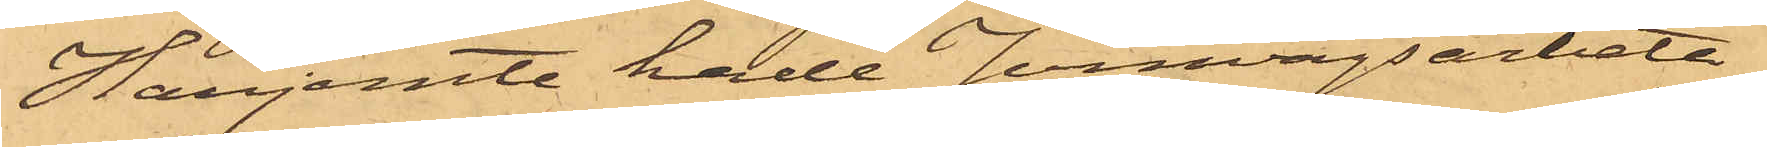Härjemte hade Jernvägsarbeta¬
